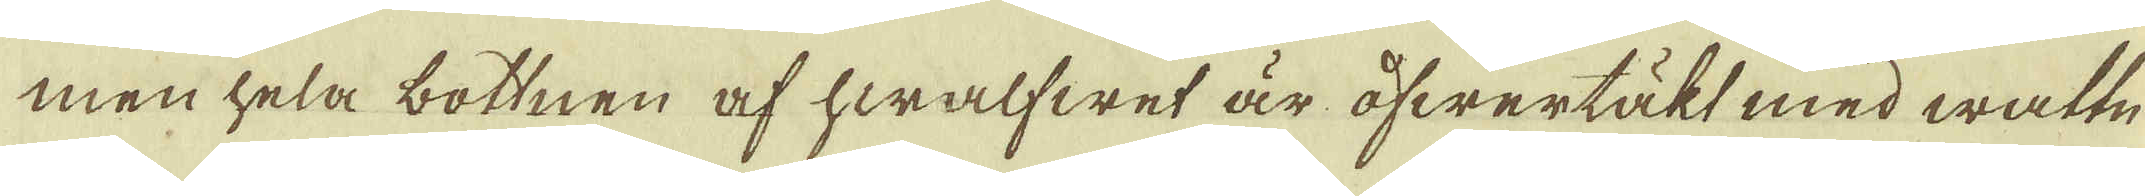men hela bottnen af hwalfwet är öfwertäkt med wattn
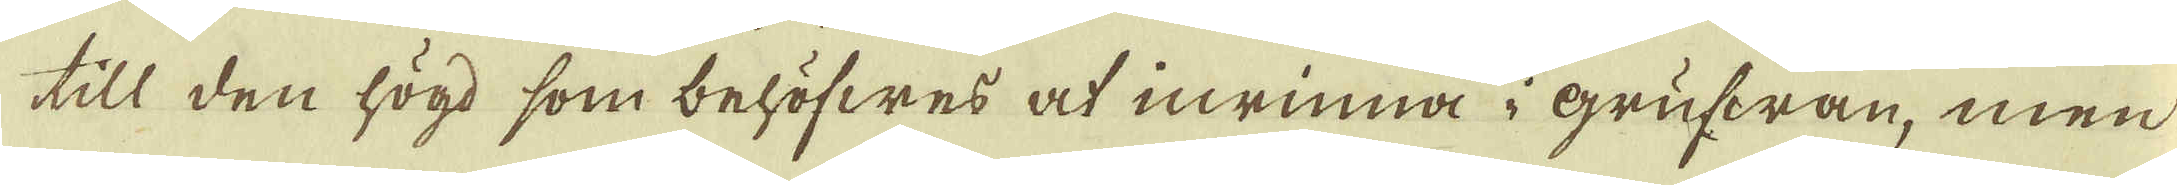till den högd som behöfwes at inrinna i grufwan, men
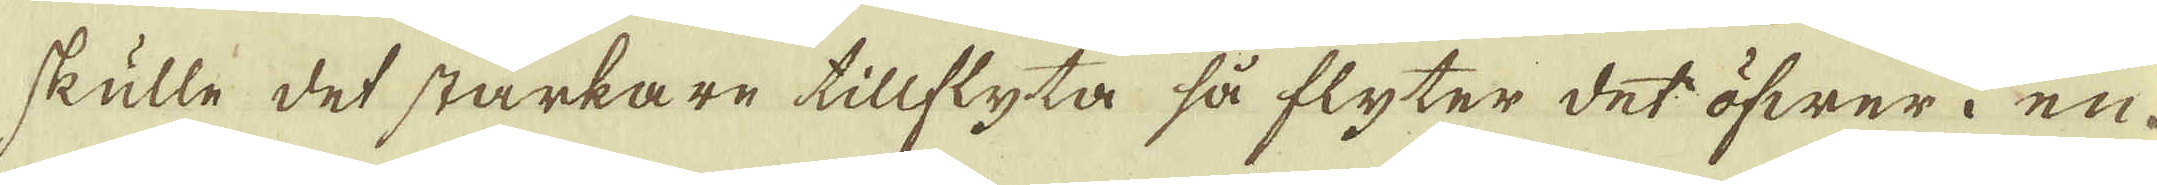skulle det starkare tillflyta så flyter det öfwer i en
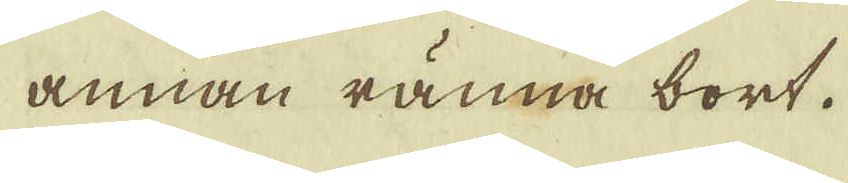annan ränna bort.
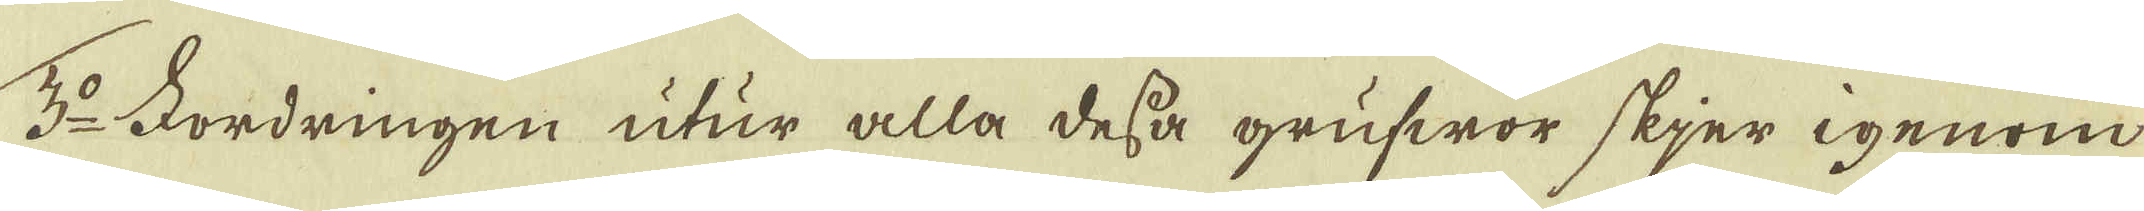3:o Fordringen utur alla dessa grufwor skier igenom
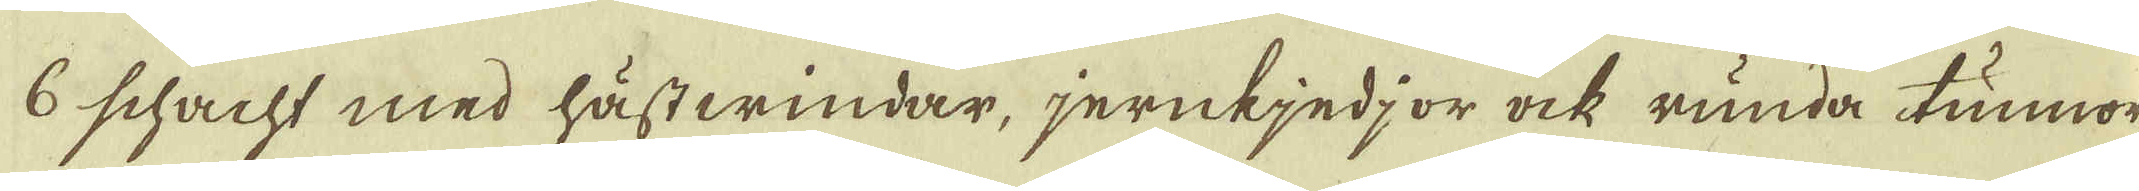6 schacht med hästwindar, jernkjedjor ock runda tunnor
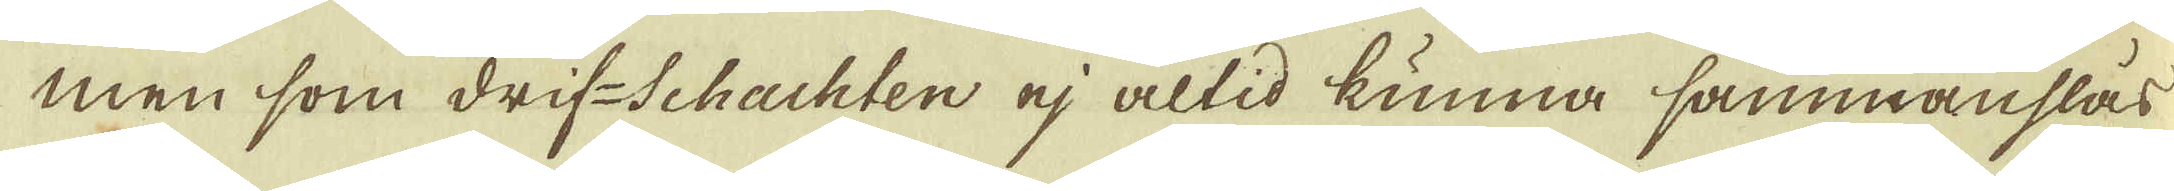men som drif-Schackten ej altid kunna sammanslås
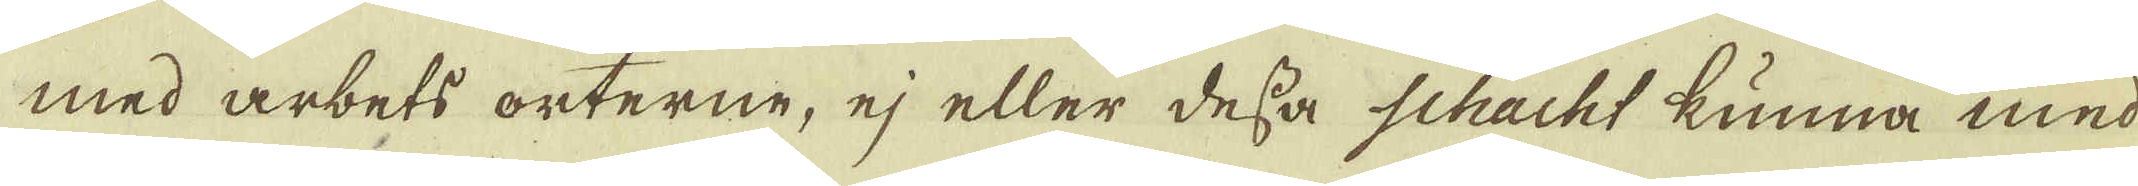med arbets orterne, ej eller dessa Schackt kunna med
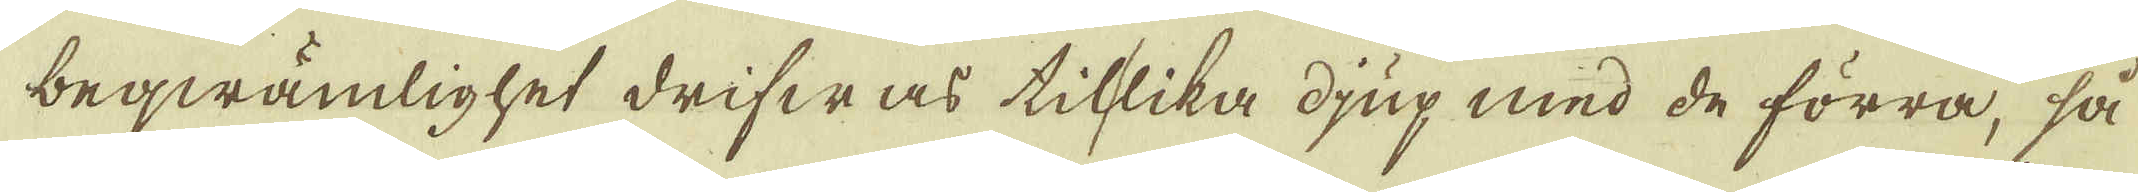beqwämlighet drifwas tillika djup med de förra, så
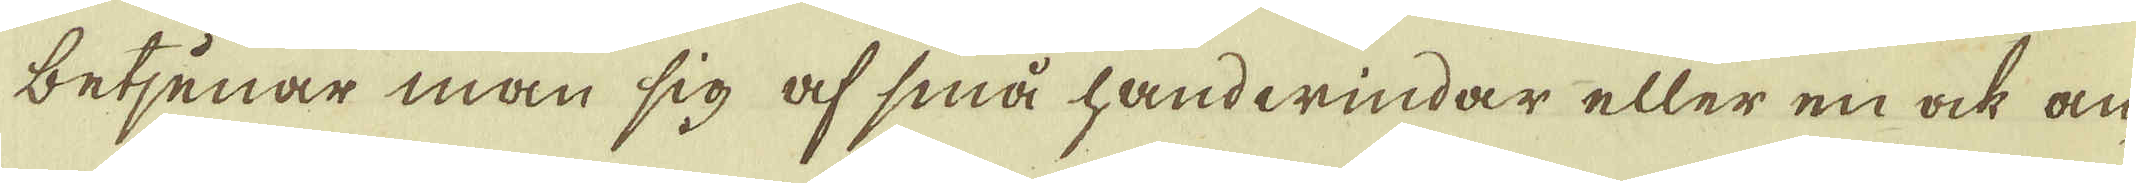betjenar man sig af små handwindar eller en ock an-
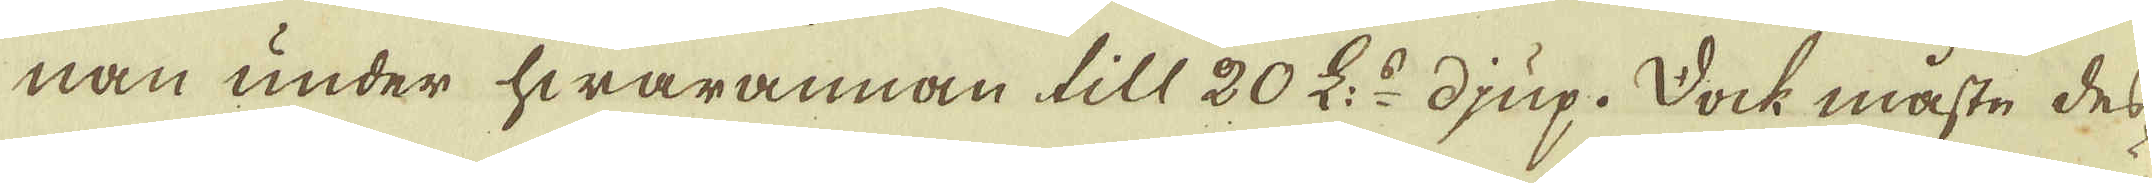nan under hwarannan till 20 L:r djup. Dock måste des-
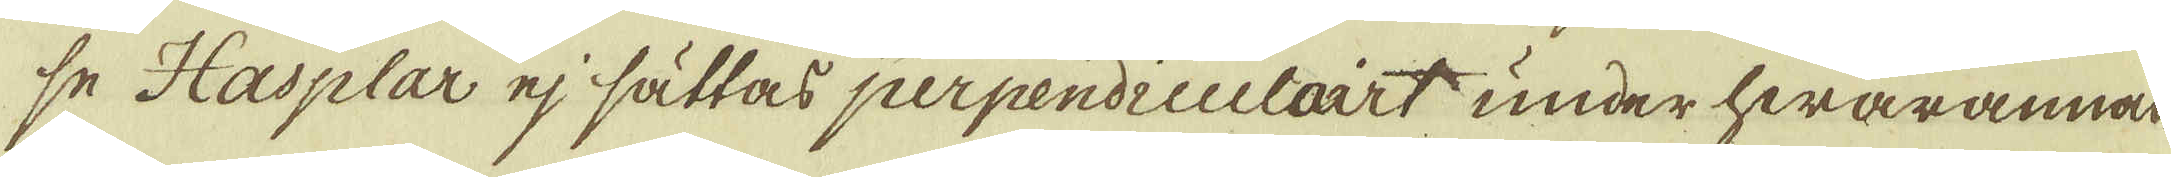se Hasplar ej sättas perpendiculairt under hwarannan
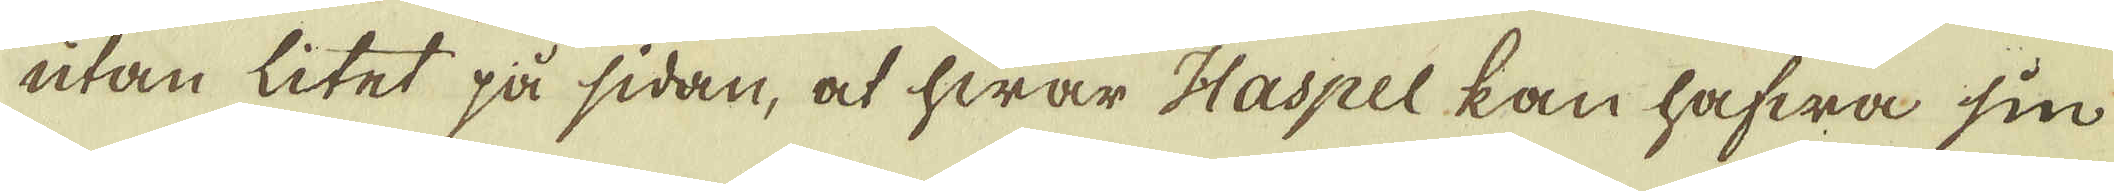utan litet på sidan, at hwar Haspel kan hafwa sin
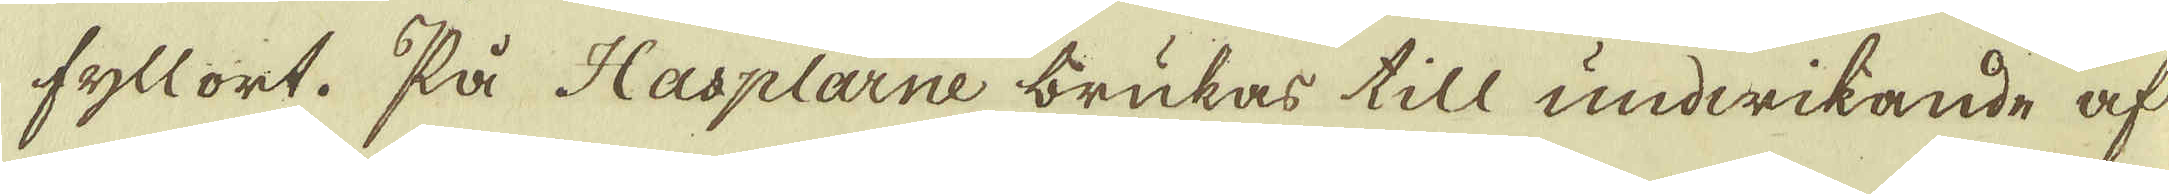fyllort. På Hasplarne brukar till undwikande af
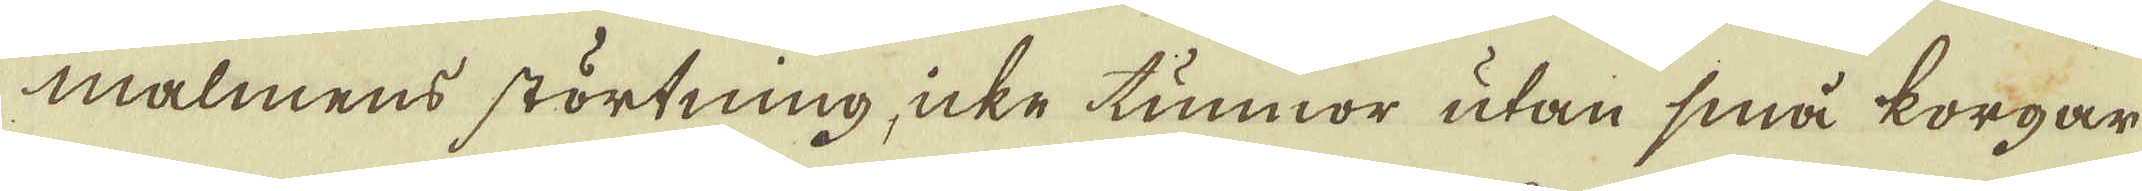malmens störtning icke tunnor utan små korgar
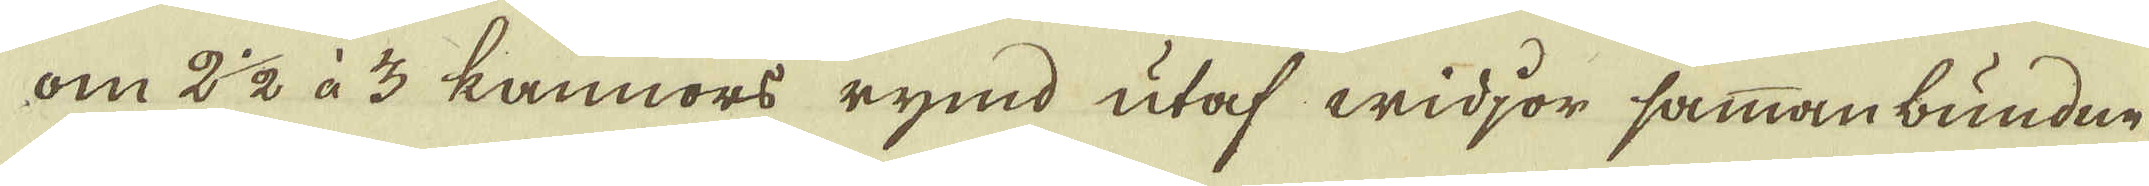om 2 1/2 à 3 kannors rymd utaf widjor sammanbundne
